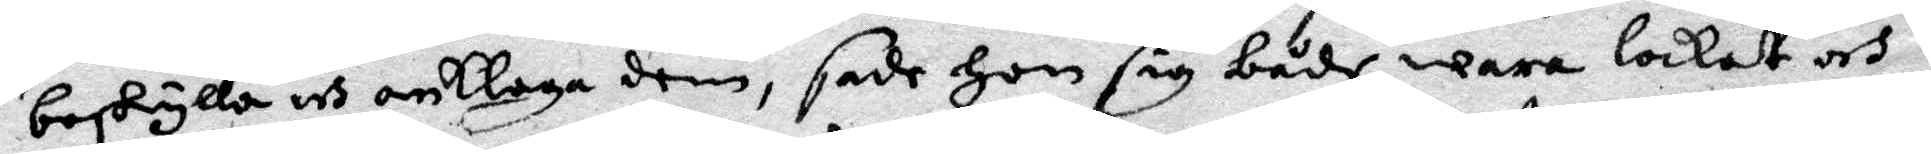beskylla och anklaga dem, sade hon sig både wara lockat och
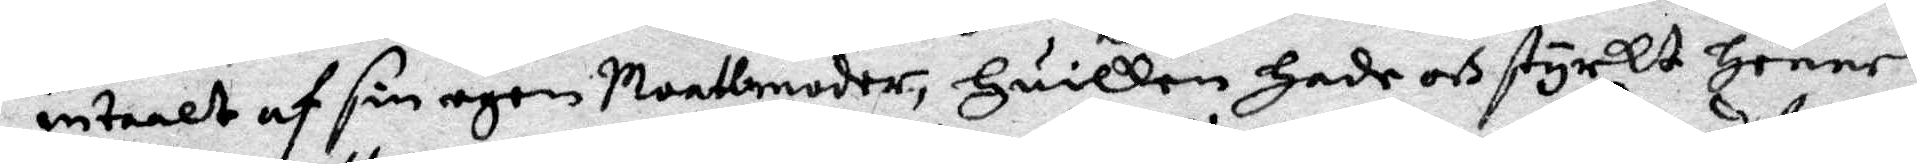intaalt af sin egen Maatmoder, huilken hade och styrkt henne
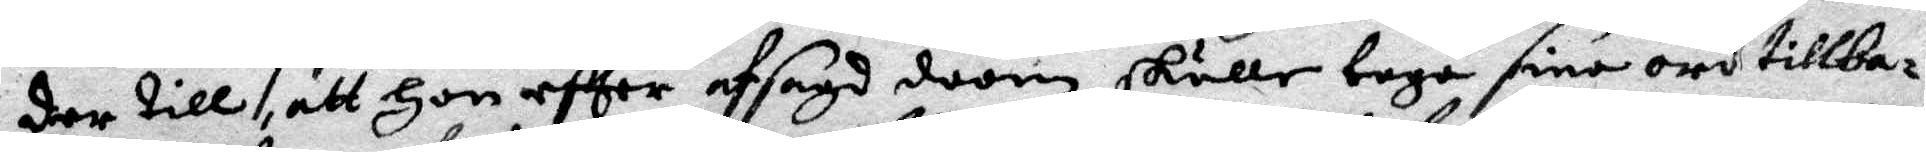der till, att hon efter afsagd soom skulle taga sina ord tillba¬
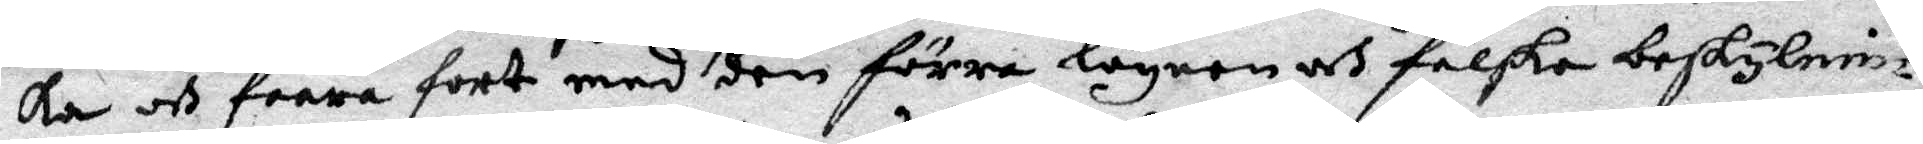ka och faara fort med den förra lögnen och falska beskylnin¬
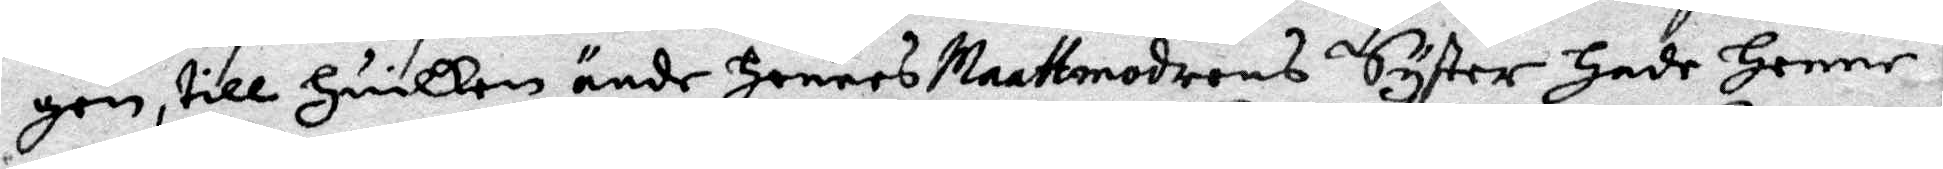gen, till huilken ände hennes Mattmodrens Syster hade henne
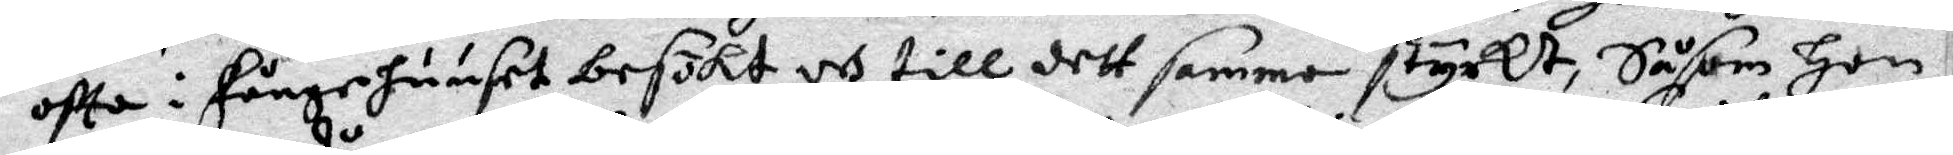ofta i fångehuuset besökt och till dett samma styrkt, Såsom hon
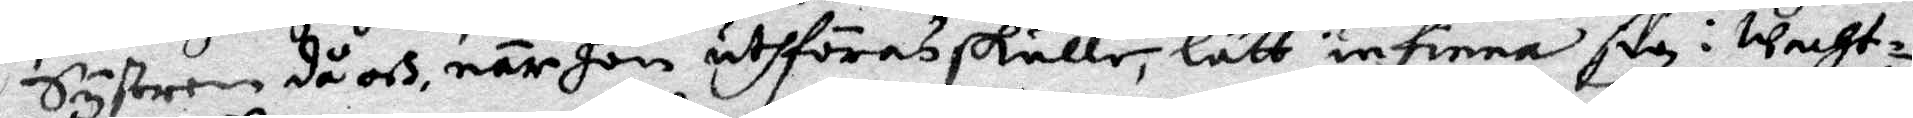Systren då och när hon uthföras skulle, lätt infinna sig i Wacht¬
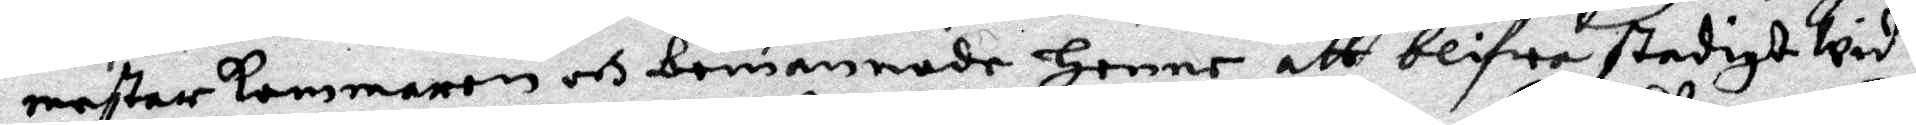mestarkammaren och banannade henne att blifwa stadigt wid
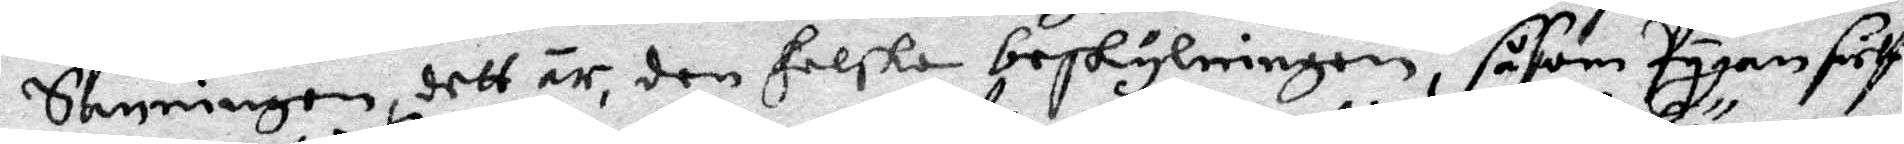Sanningen, dett är, den falska beskylningen, såsom Pygan sielf
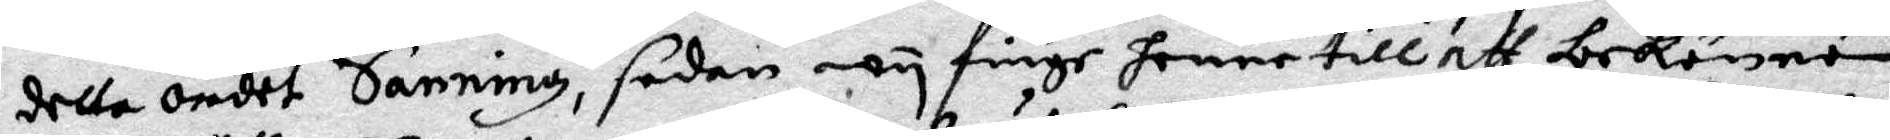detta ordet Sanning, sedan wy finge henne till att bekänna
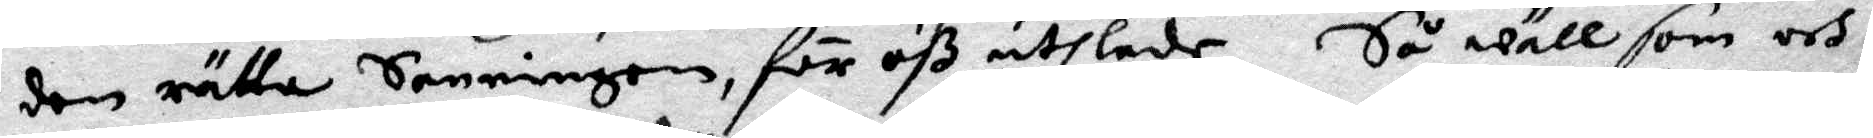den rätta Sanningen, för oß uthlade, Så wäll som och
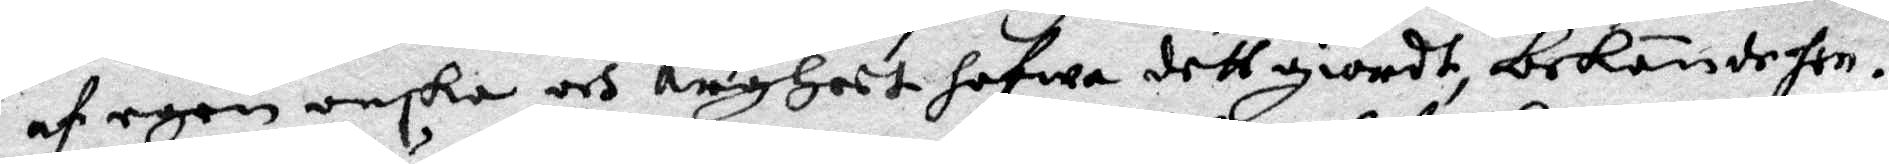af egen onska och argheet hafwa dett giordt, bekände hon.
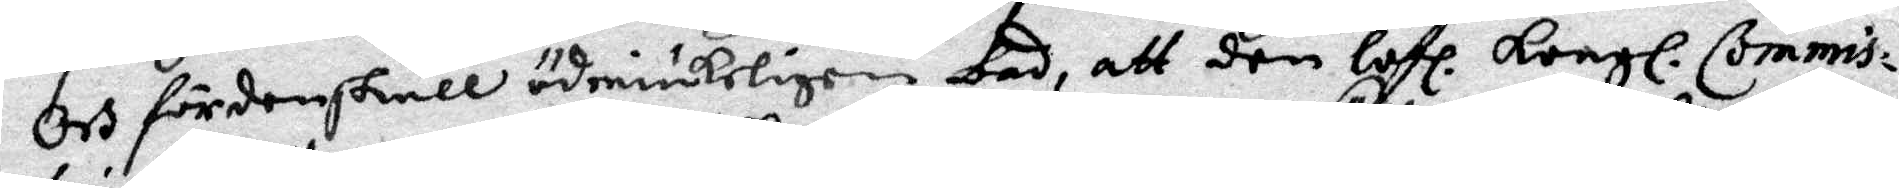Och fördenskull ödmiukeligen bad att den lofl. Kongl. Commis¬
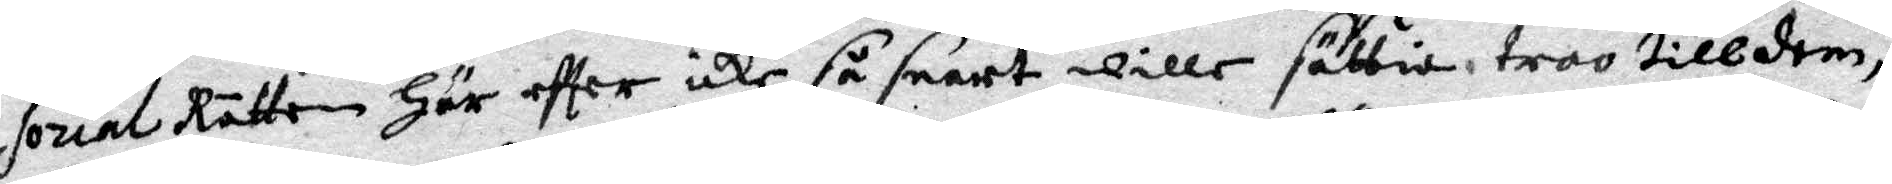sorial Rätten här eftter icke så snart wille sättia troo till dem,
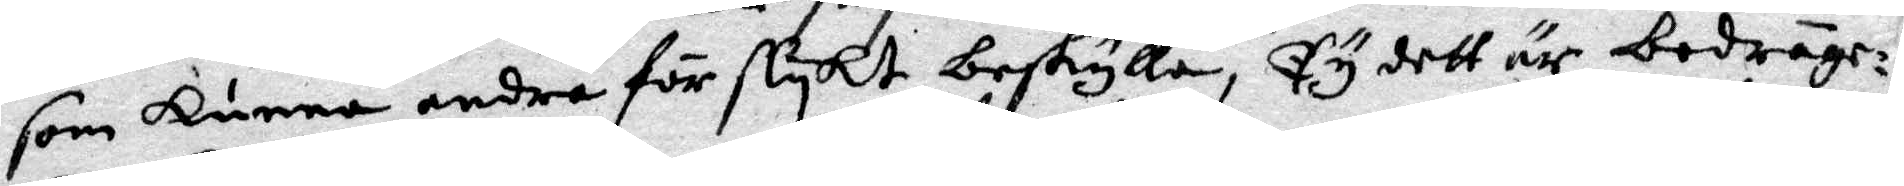som kunna andra för slykt beskylla, Ty dett är bedräge¬
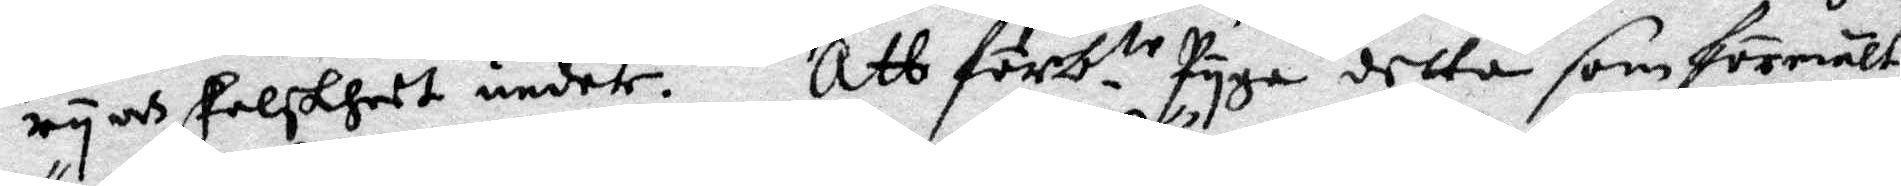ry och falskheet under. Att förb.te Pyga detta som förmält
